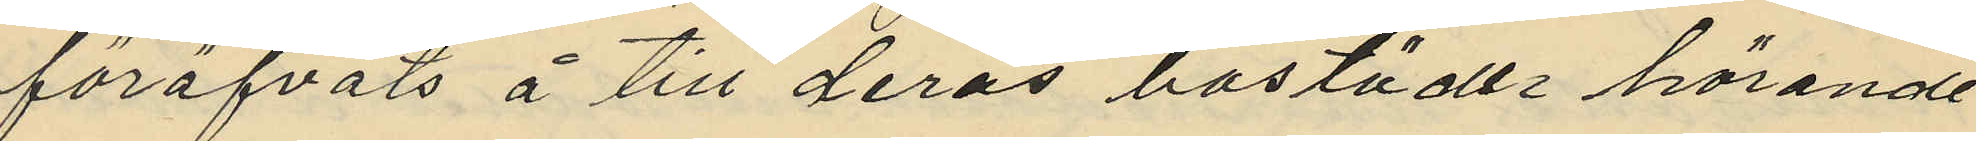föröfvats å till deras bostädes hörande
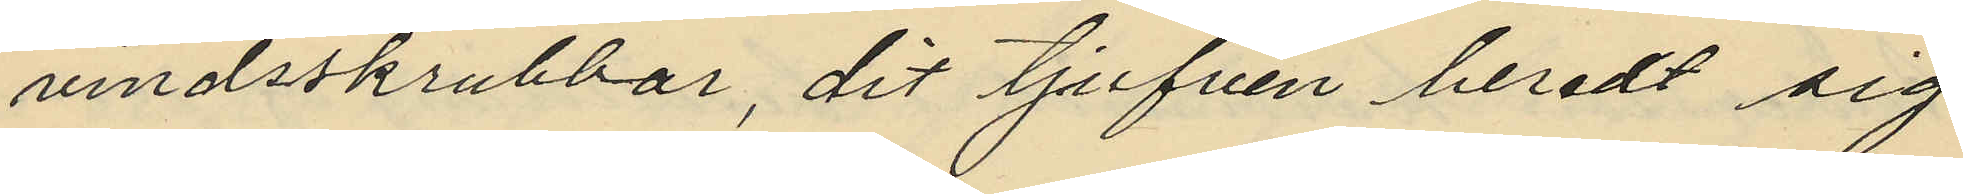vindsskrubbar, dit tjufven beredt sig
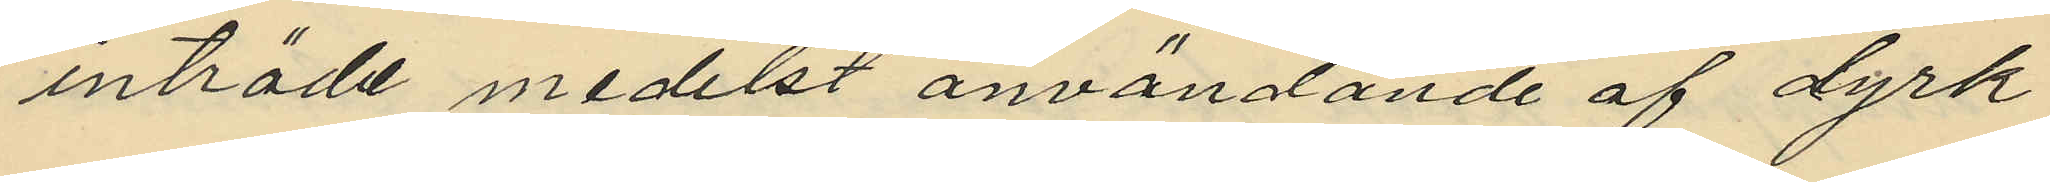inträde medelst användande af dyrk
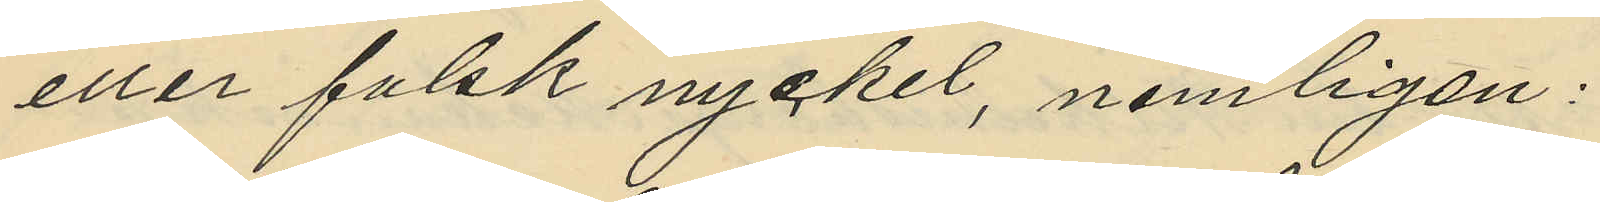eller falsk nyckel, nemligen:
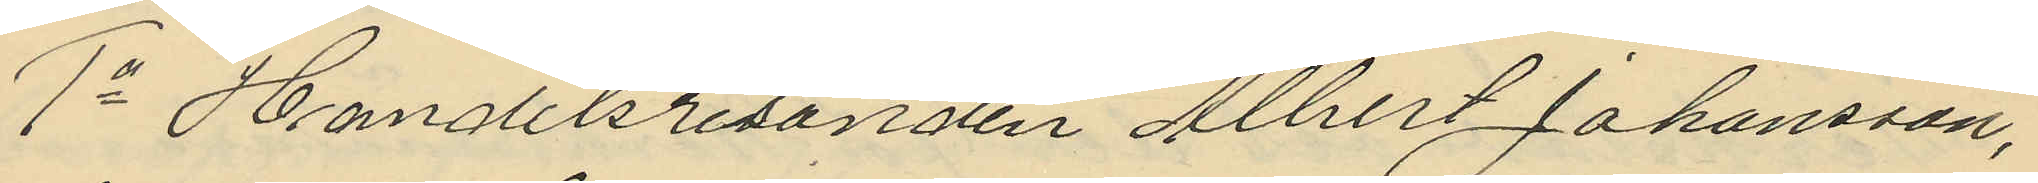1o Handelsresanden Albert Johansson,
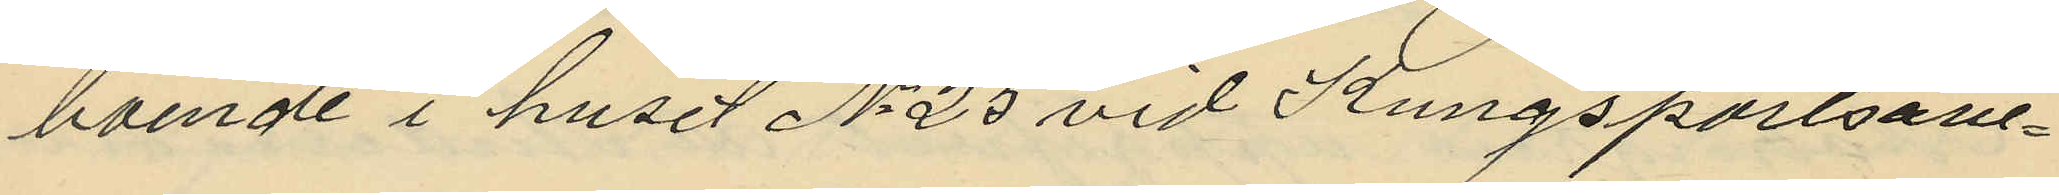boende i huset No 25 vid Kungsportsave-
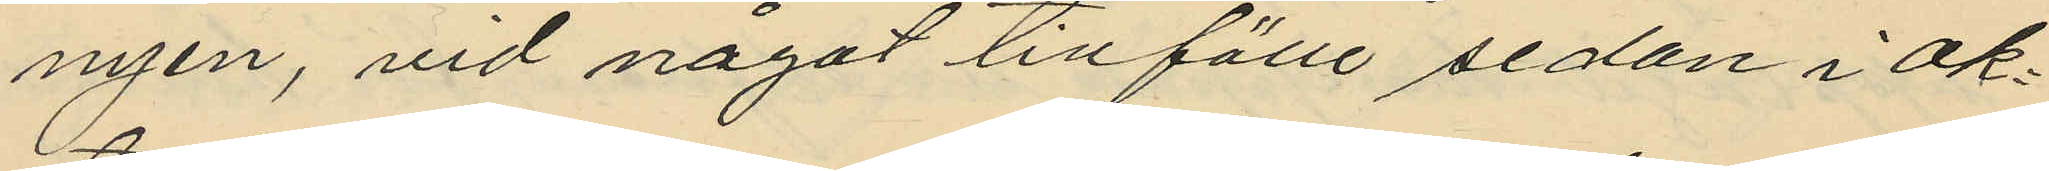nyen, vid något tillfälle sedan i Ok¬
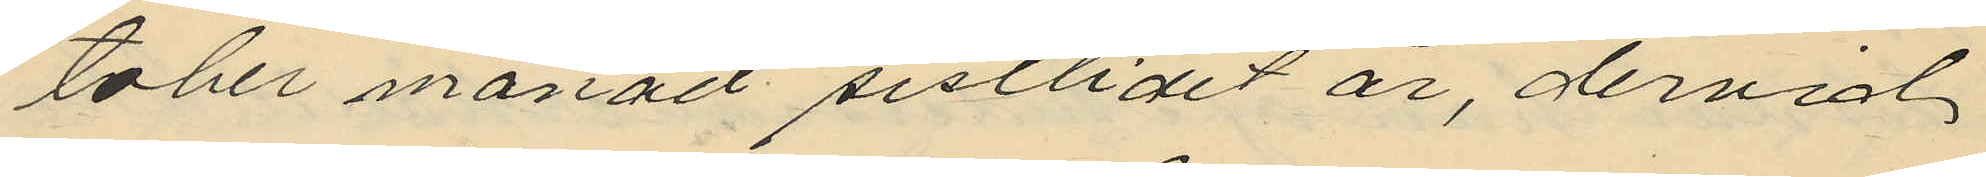tober månad sistlidet år, dervid
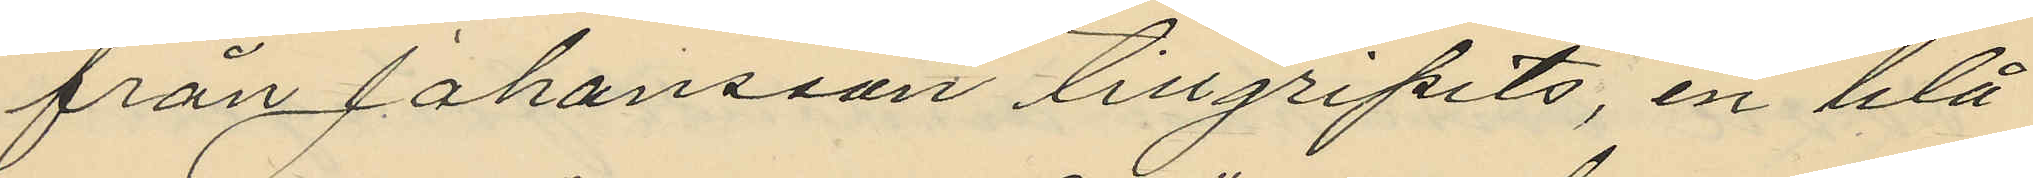från Johansson tillgripits, en blå
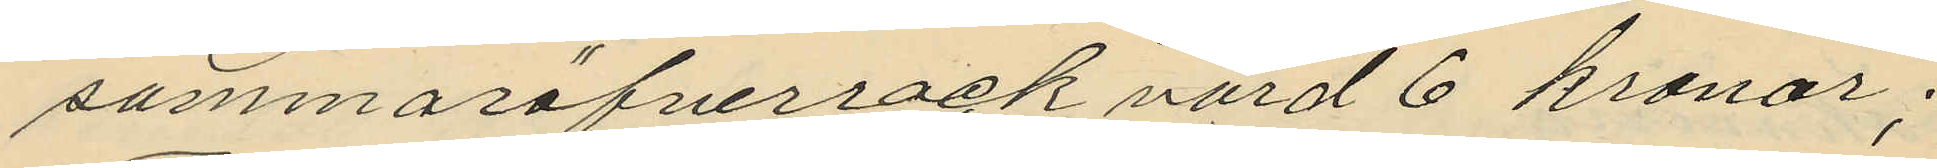sommaröfverrock värd 6 kronor;
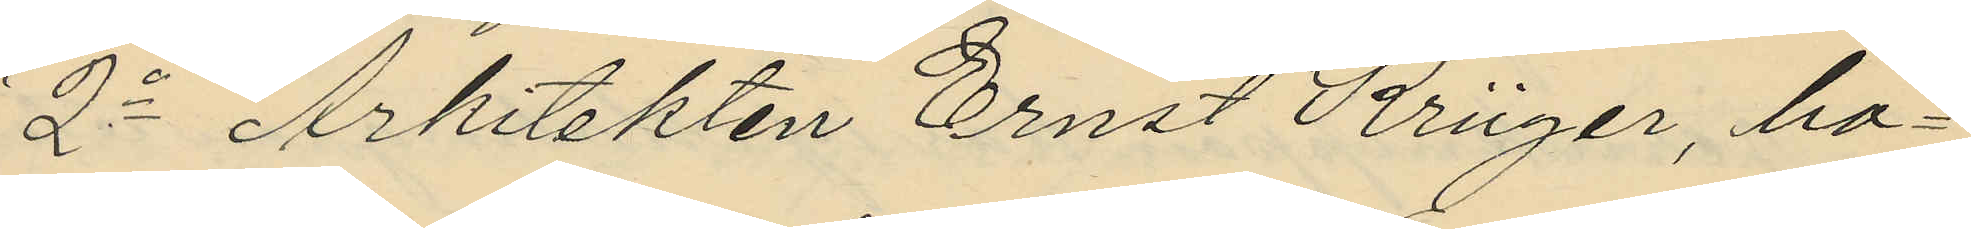2o Arkitekten Ernst Kriger, bo¬
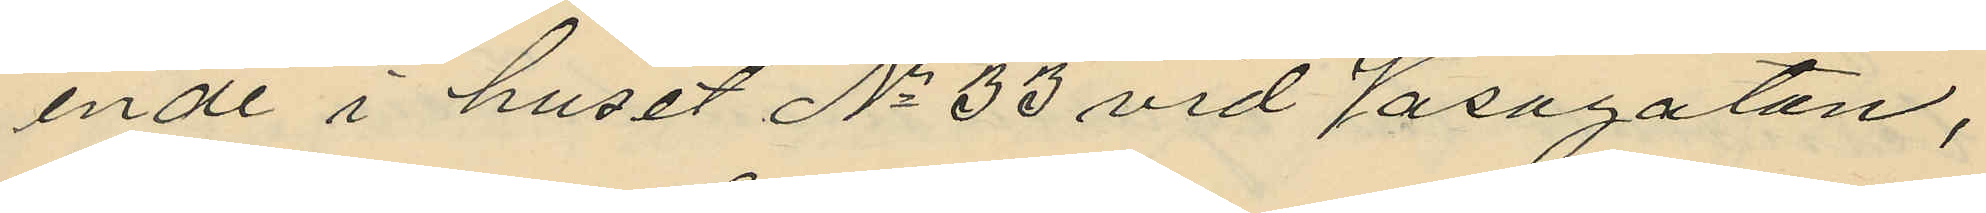ende i huset No 33 vid Vasagatan,
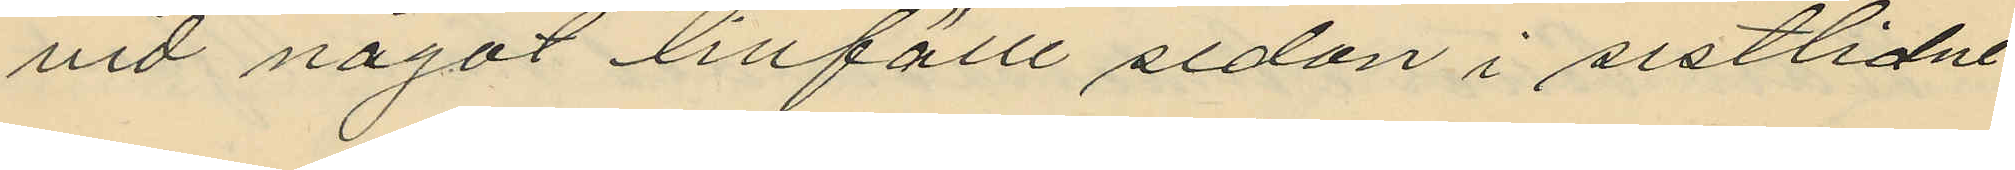vid något tillfälle sedan i sistlidne
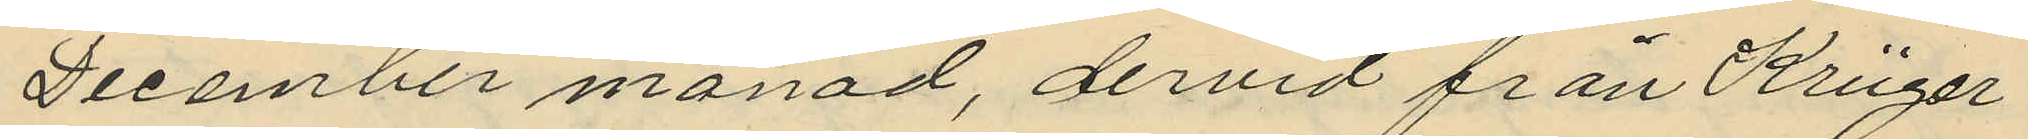December månad, dervid från Kriger
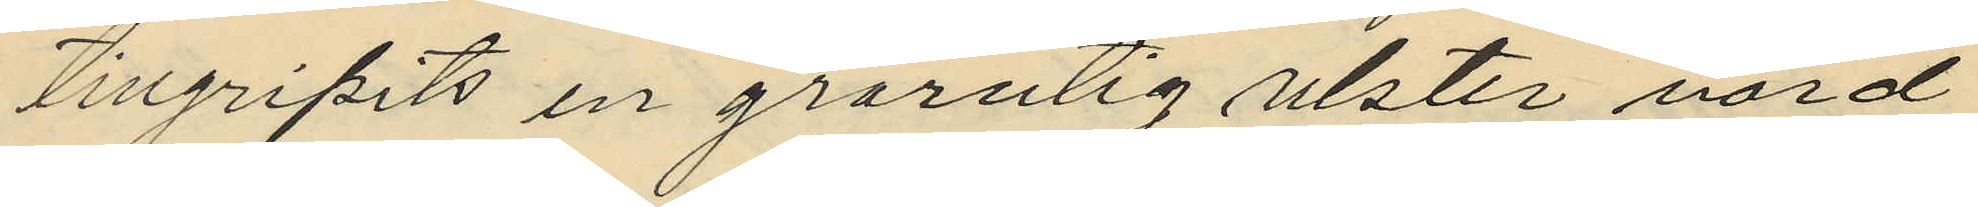tillgripits en grårutig ulster värd
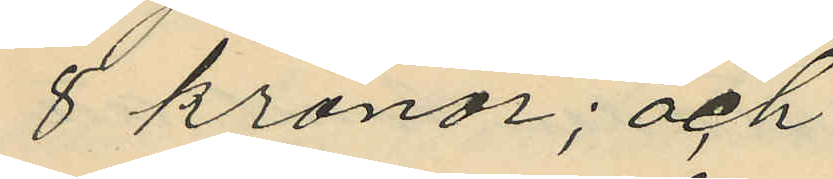8 kronor; och
